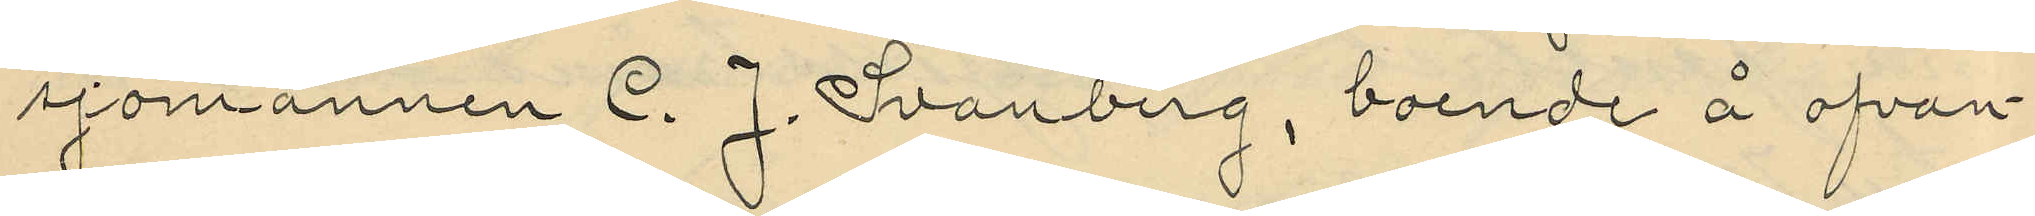sjömannen C. J. Svanberg, boende å ofvan¬
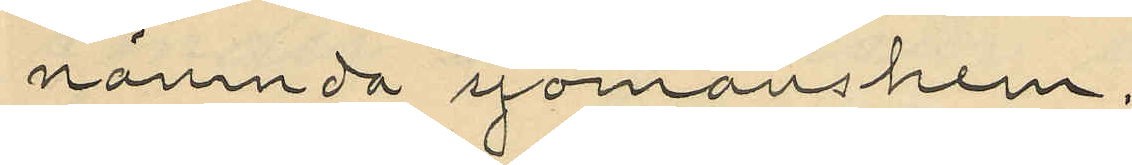nämnda sjömanshem.
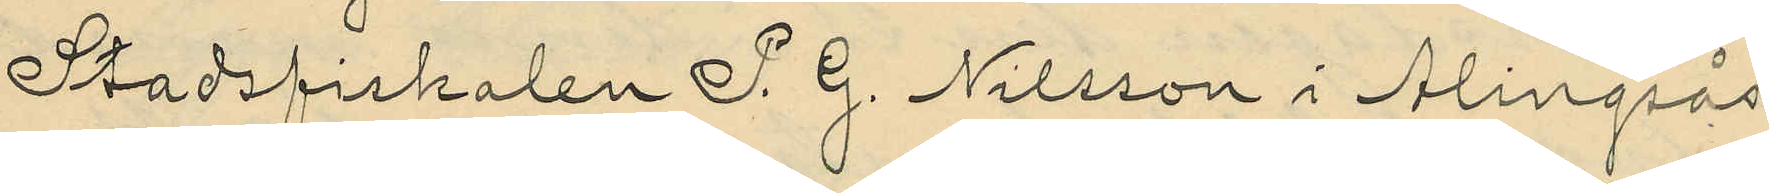Stadsfiskalen S. G. Nilsson i Alingsås
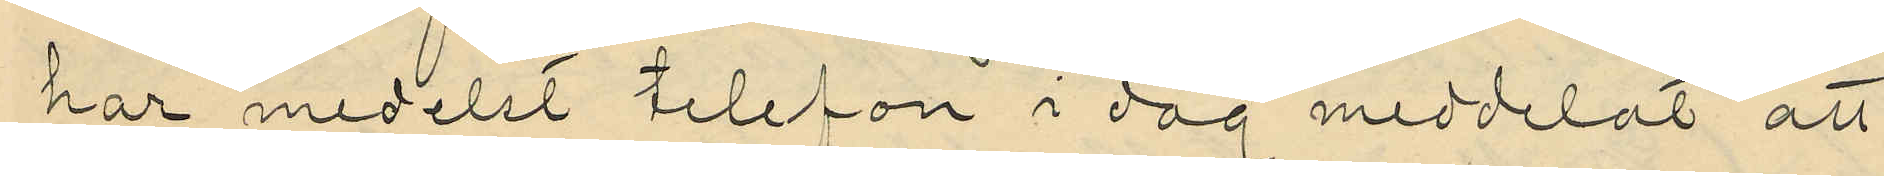har medelst telefon i dag meddelat att
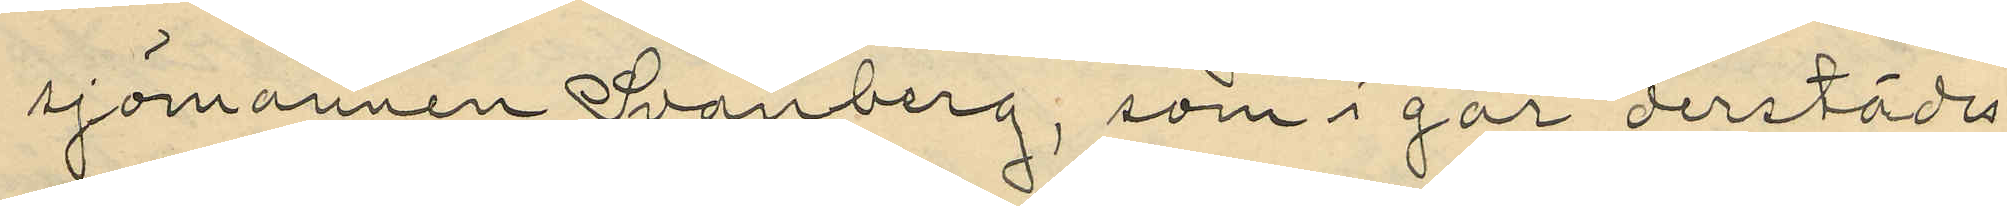sjömannen Svanberg, som i går derstädes
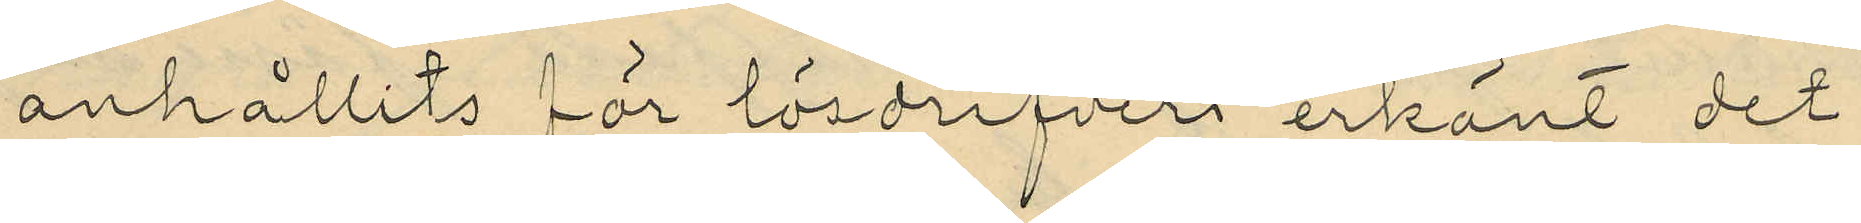anhållits för lösdrifveri erkänt det
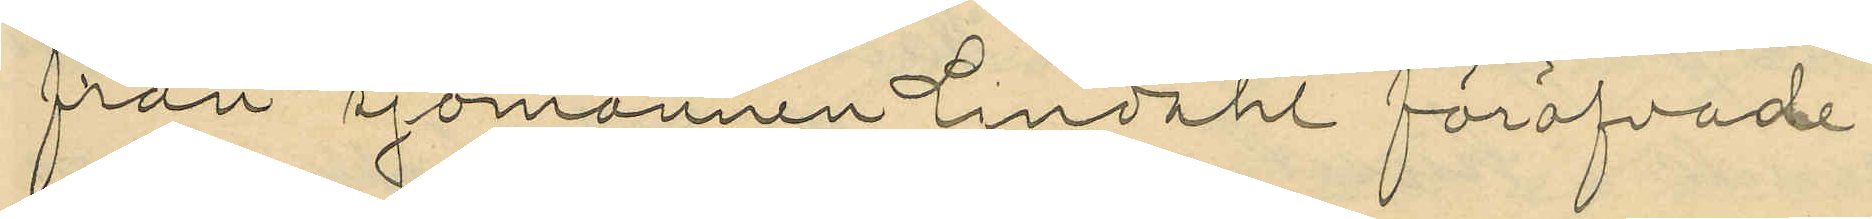från sjömannen Lindahl föröfvade
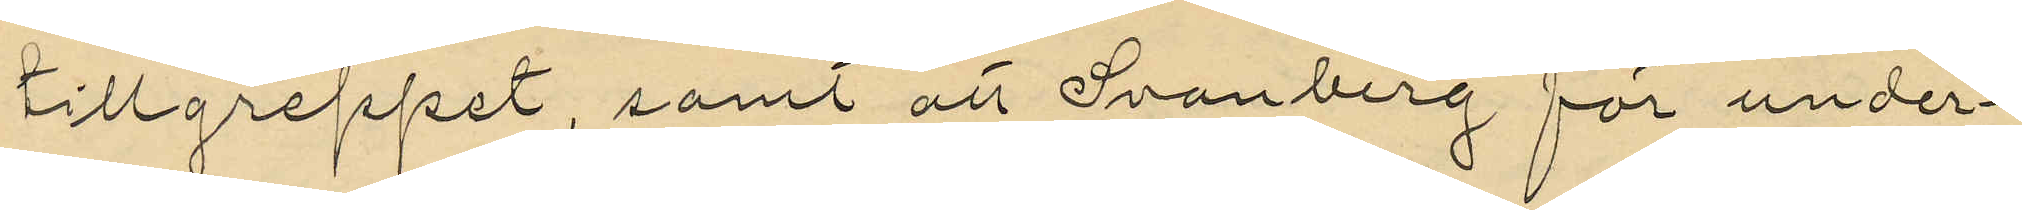tillgreppet, samt att Svanberg för under¬
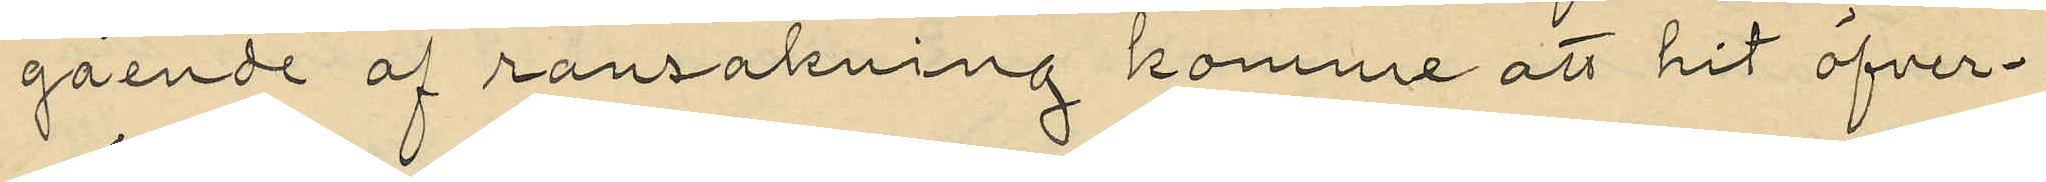gående af ransakning komme att hit öfver¬
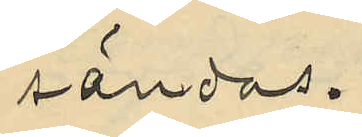sändas.
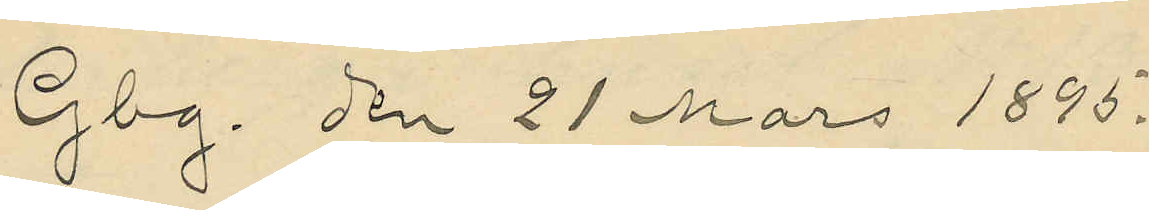Gbg, den 21 Mars 1895.
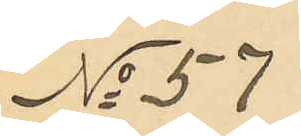No 57
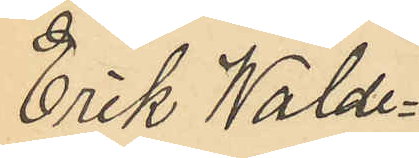Erik Walde¬
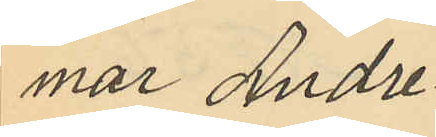mar Andre¬
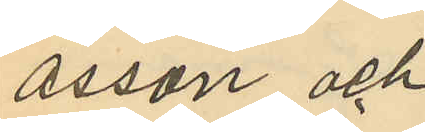asson och
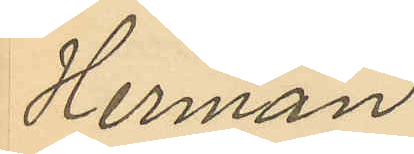Herman
